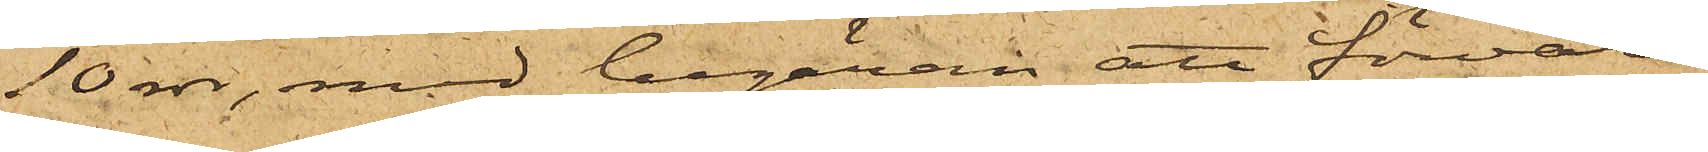10 rdr, med begäran att förvara
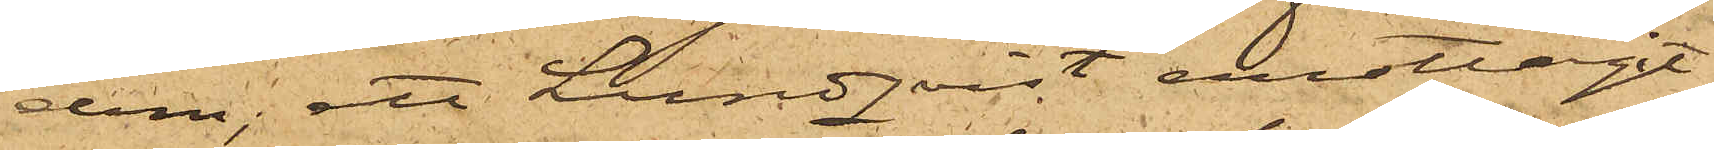dem; att Lundqvist emottagit
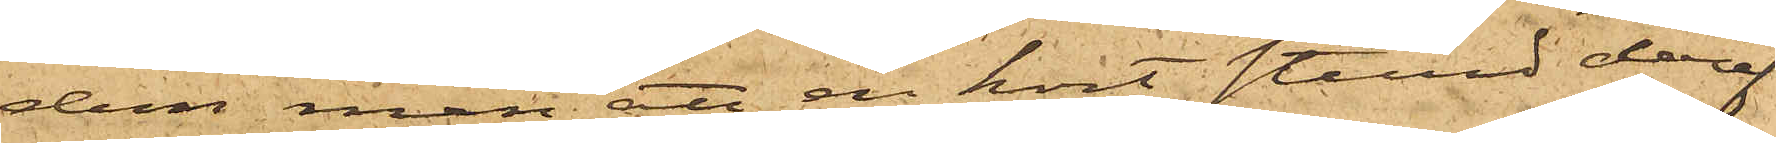dem men att en kort stund deref¬
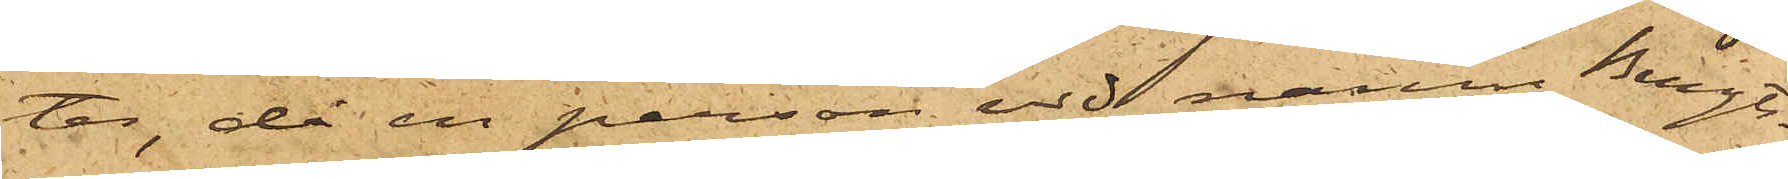ter, då en person vid namn Bengts¬
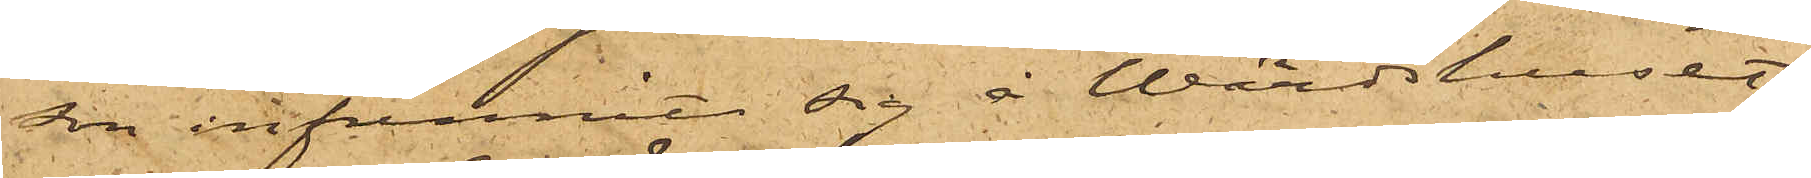son infunnit sig å Wärdshuset,
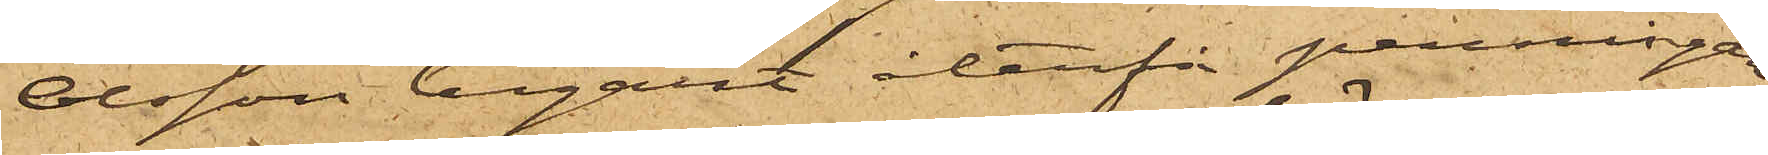Olsson begärt återfå penningar¬
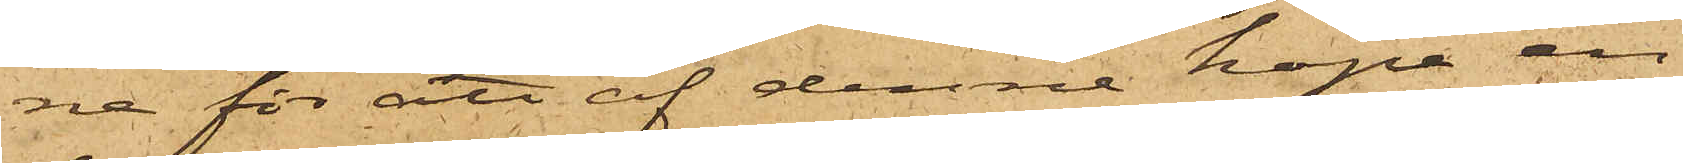ne för att af denne köpa en
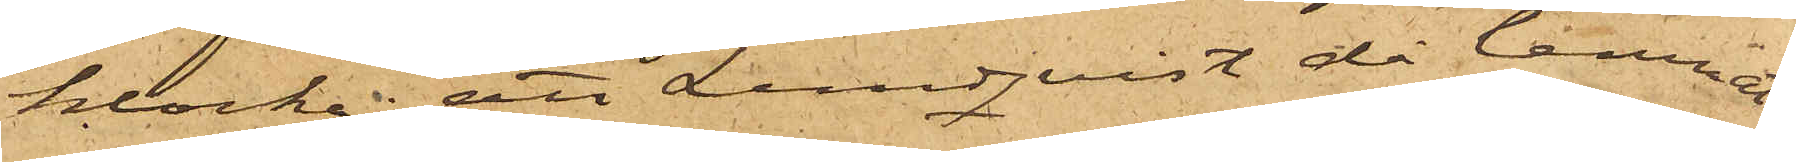klocka; att Lundqvist då lemnat
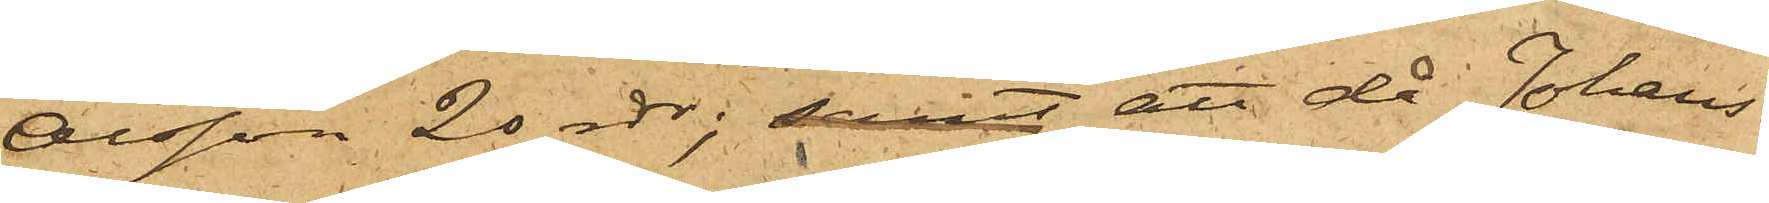Olsson 20 rdr; samt att då Johans¬
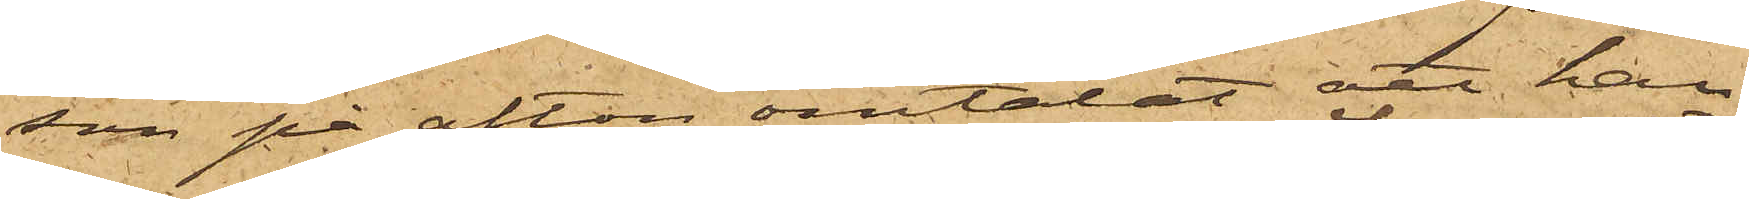son på afton omtalat att han
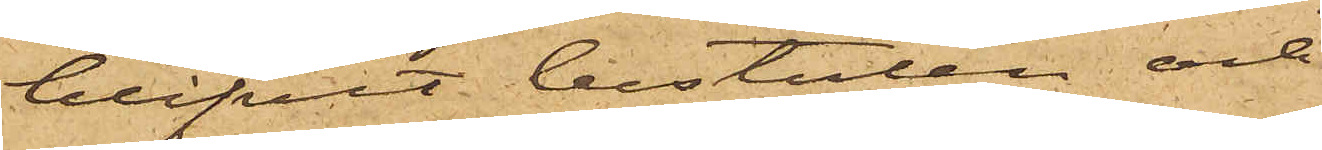blifvit bestulen och
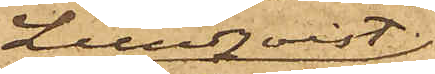Lundqvist
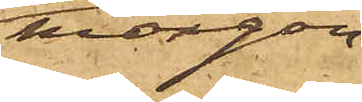morgon
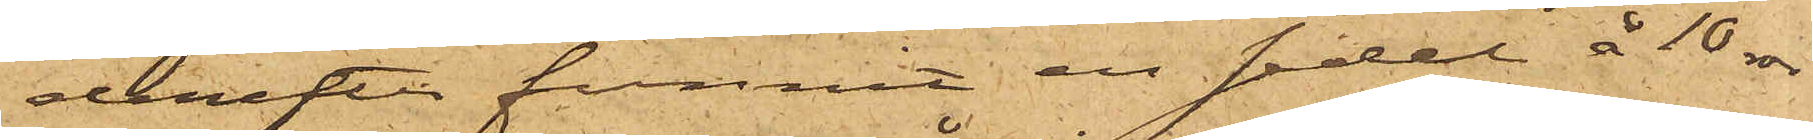derefter funnit en sedel å 10 rdr
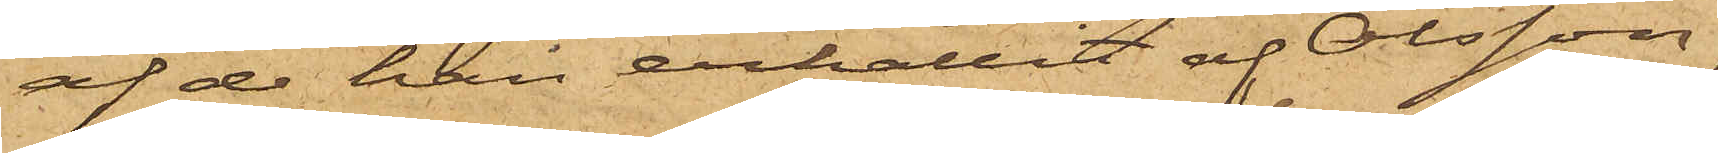af de han erhållit af Olsson,
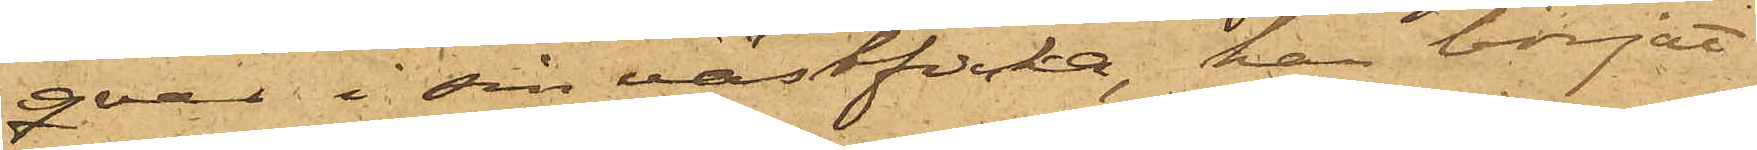qvar i sin västficka, han börjat
